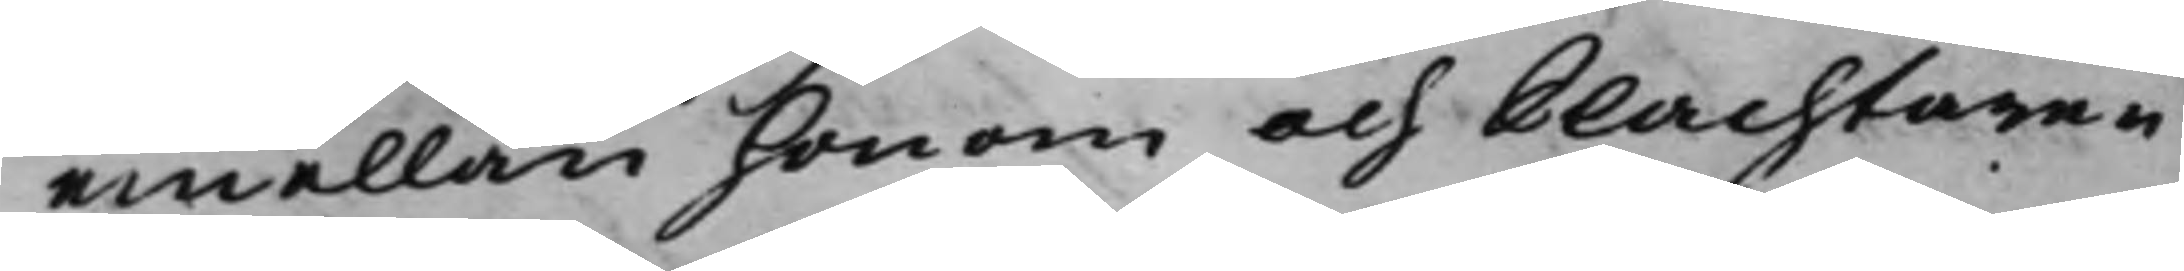emellan honom och Slachtaren
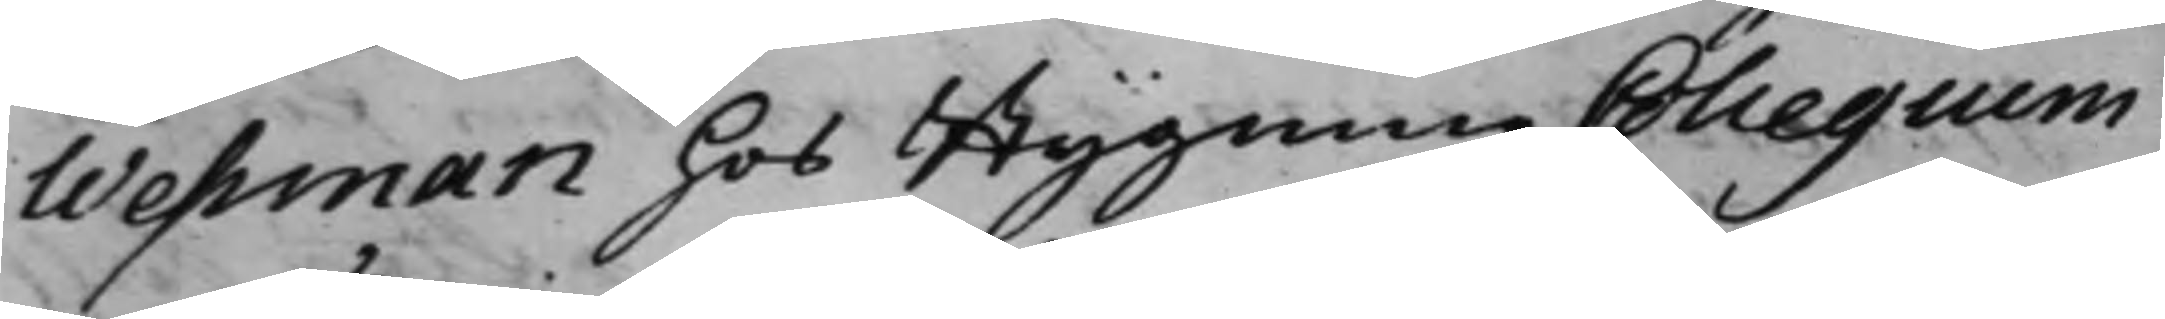Wessman hos BygningzCollegium
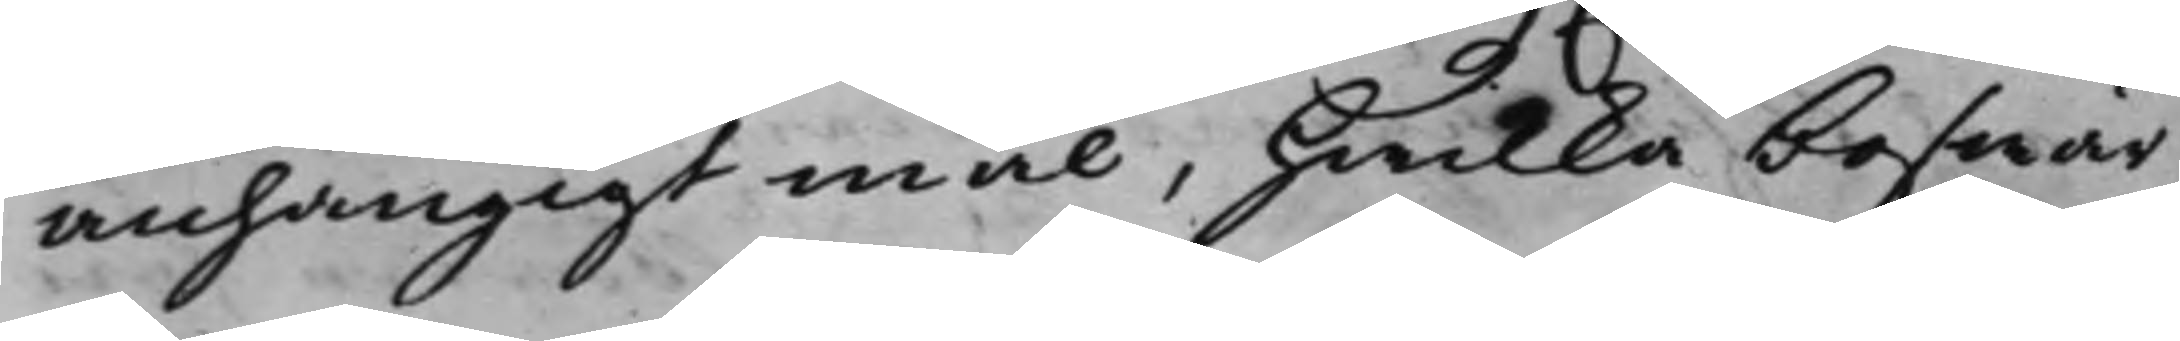anhängigt mål, hwilka beswär
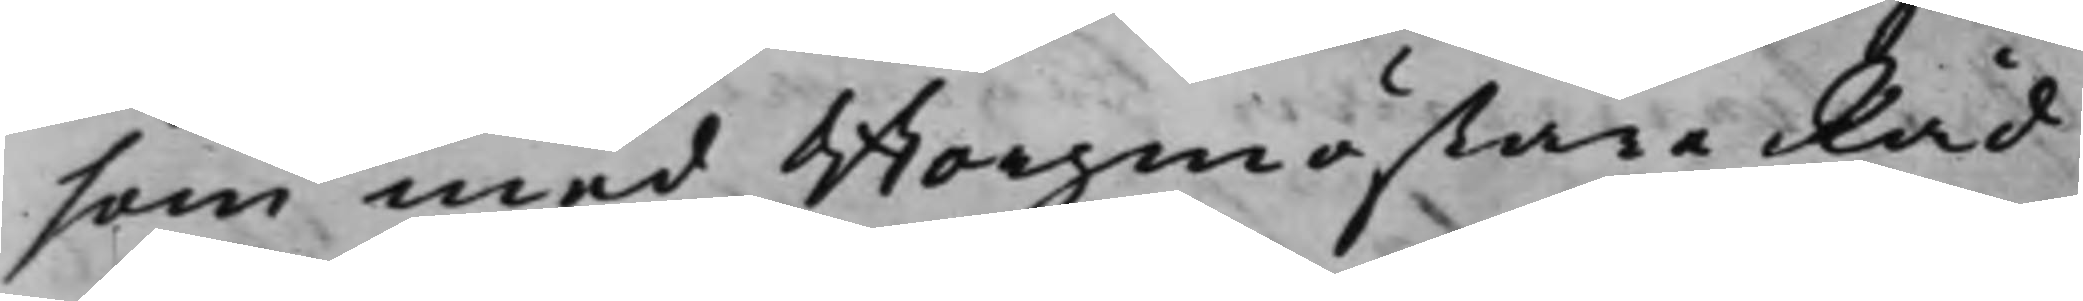som med Borgmästare Råd
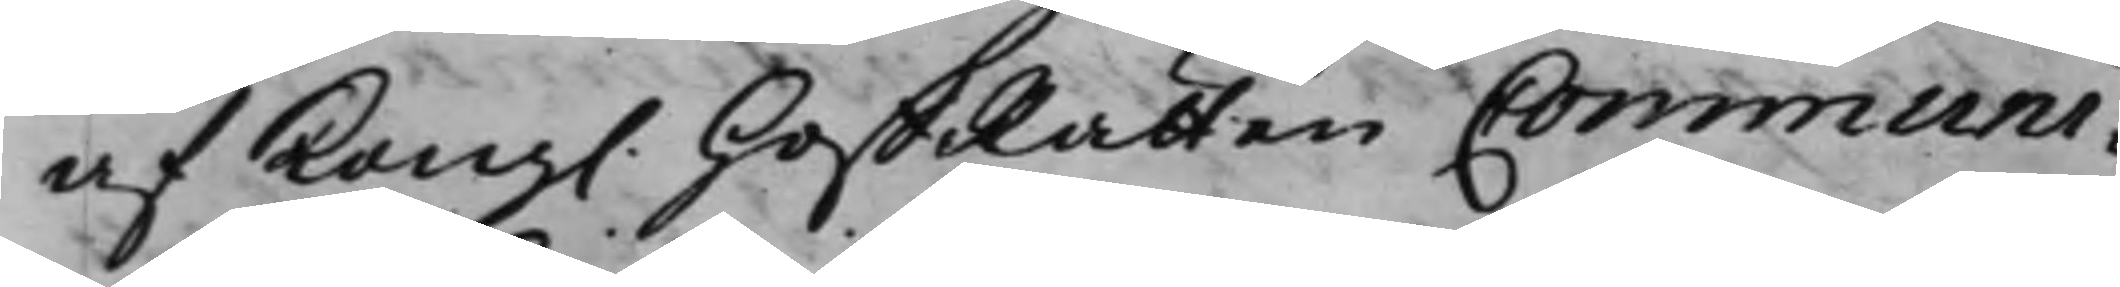af Kong. HoffRätten Communi¬
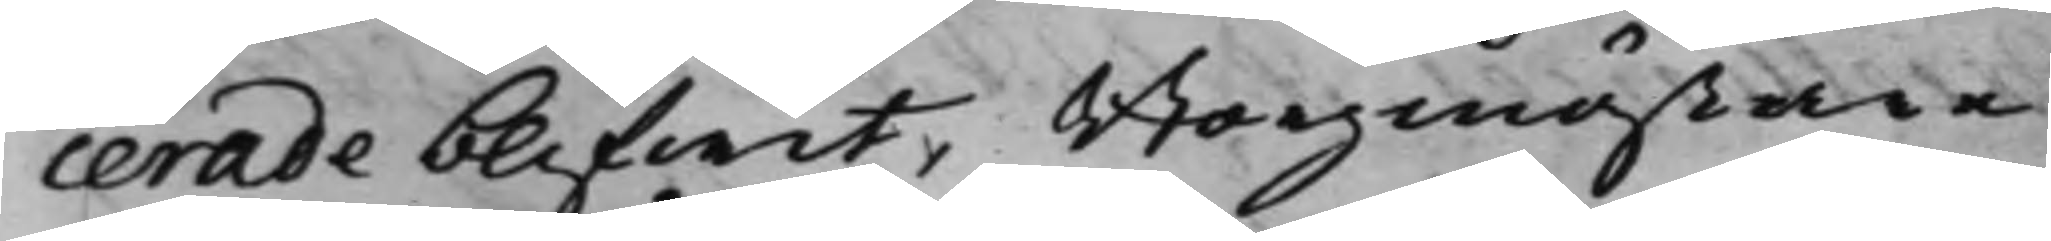cerade blifwit, Borgmästare
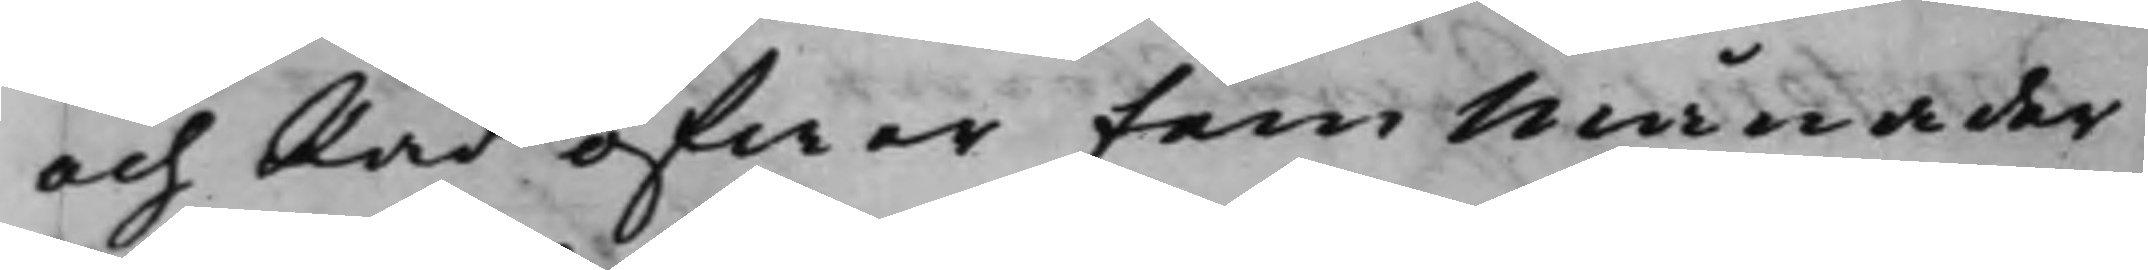och Råd öfwer fem Månader
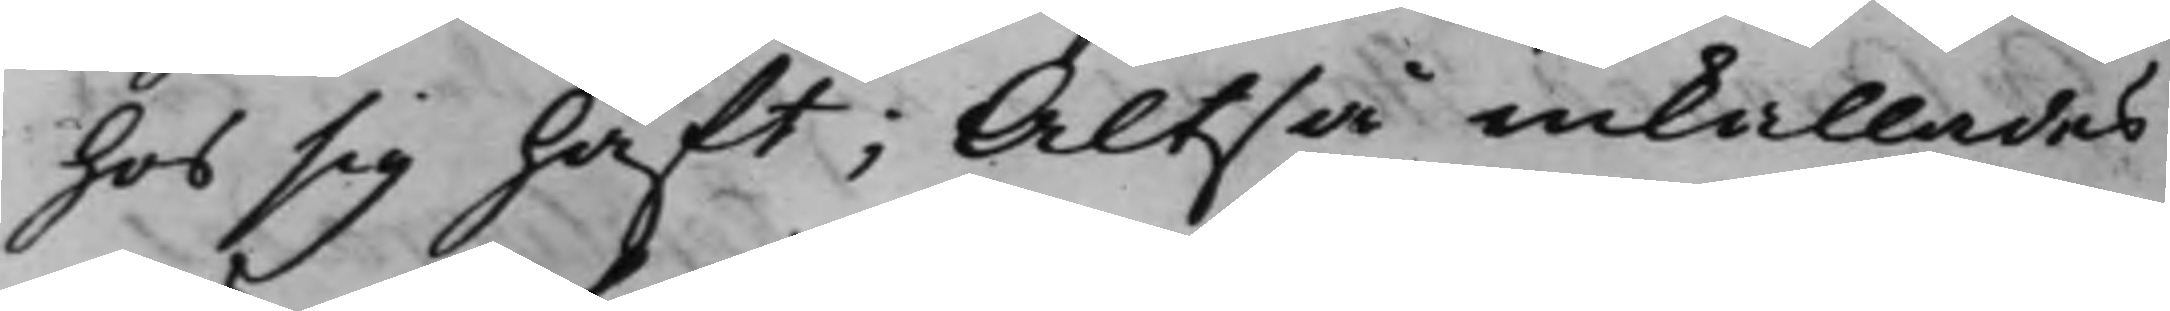hos sig haft; Altså inkallades
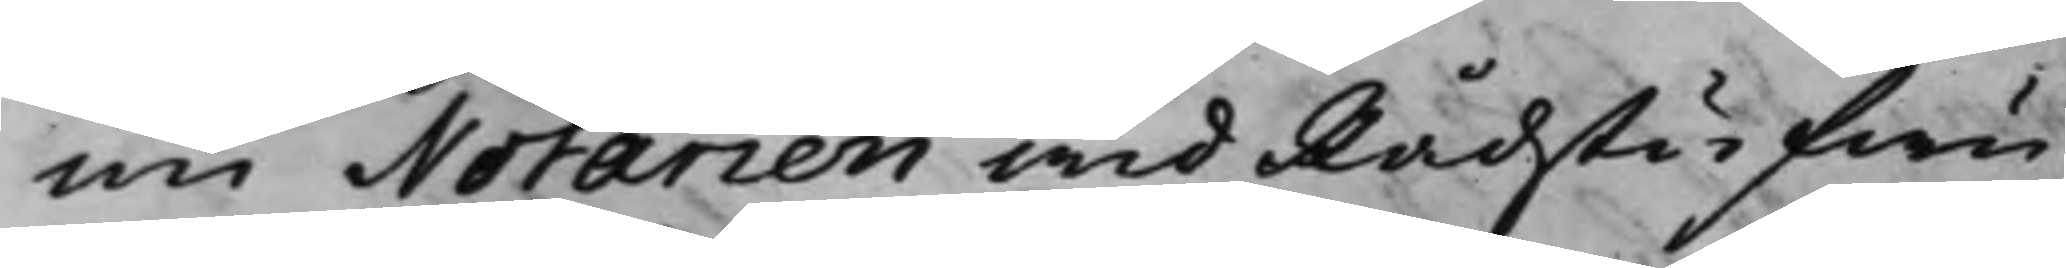nu Notarien wid Rådstufwu¬
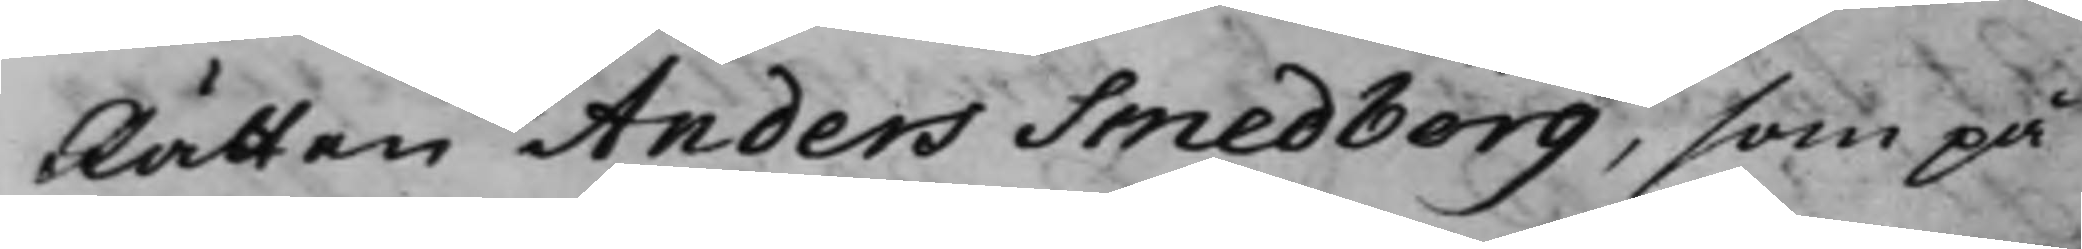Rätten Anders Smedborg, som på
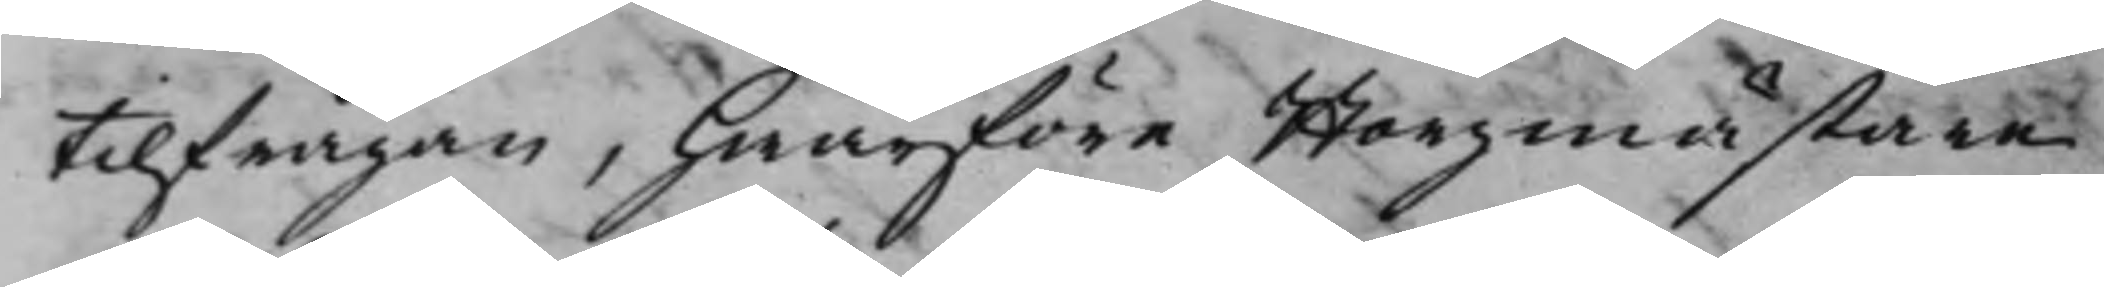tilfrågan, hwarföre Borgmästare
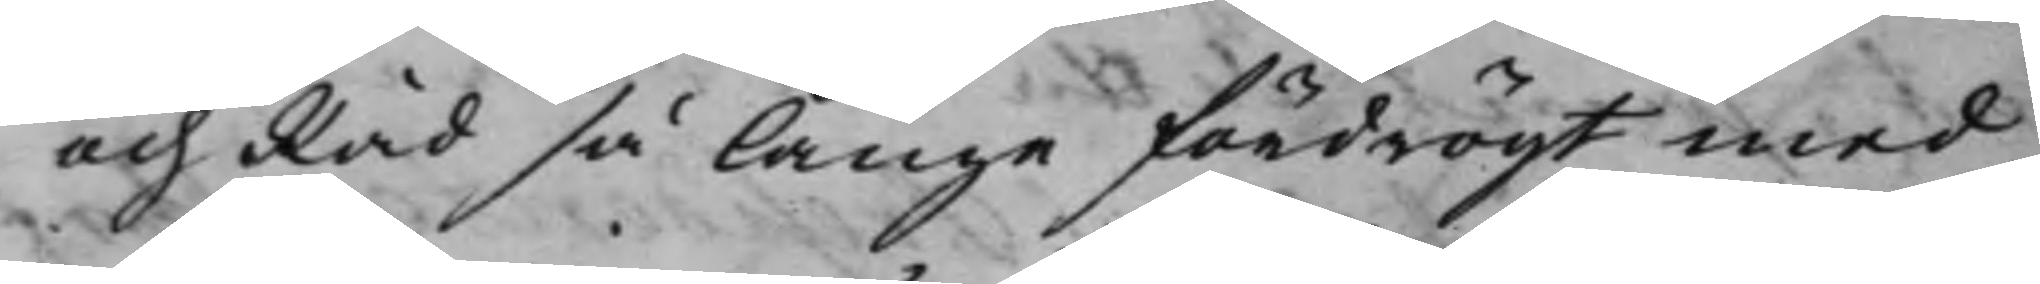och Råd så länge fördröijt med
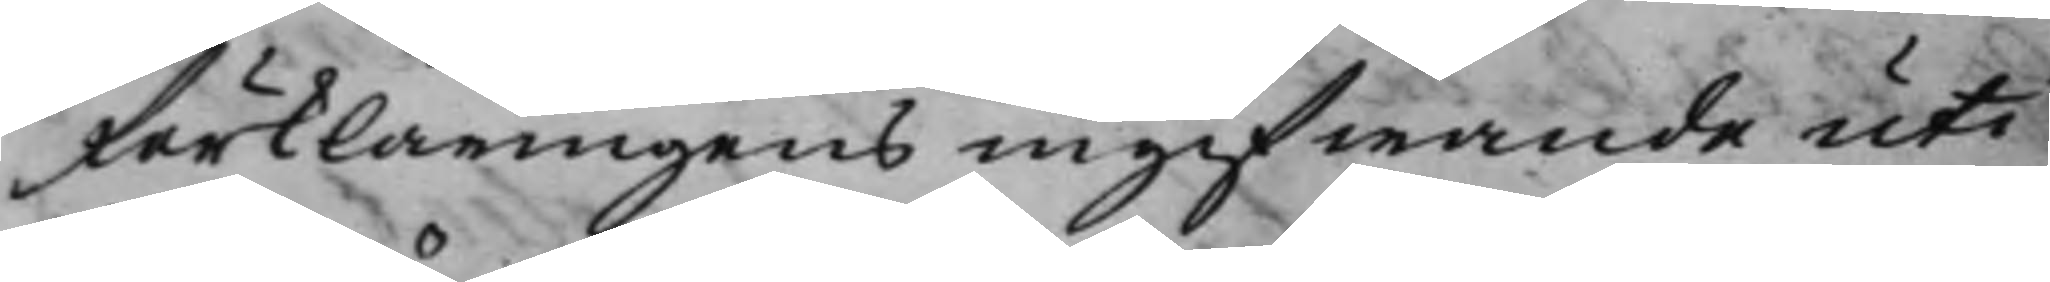Förklaringens ingifwande uti
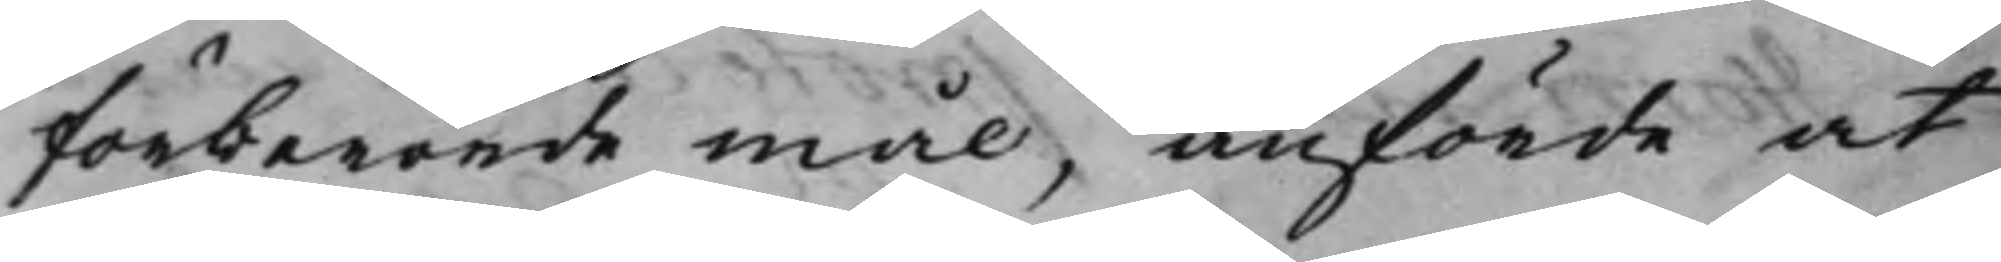förberörde mål, anförde at
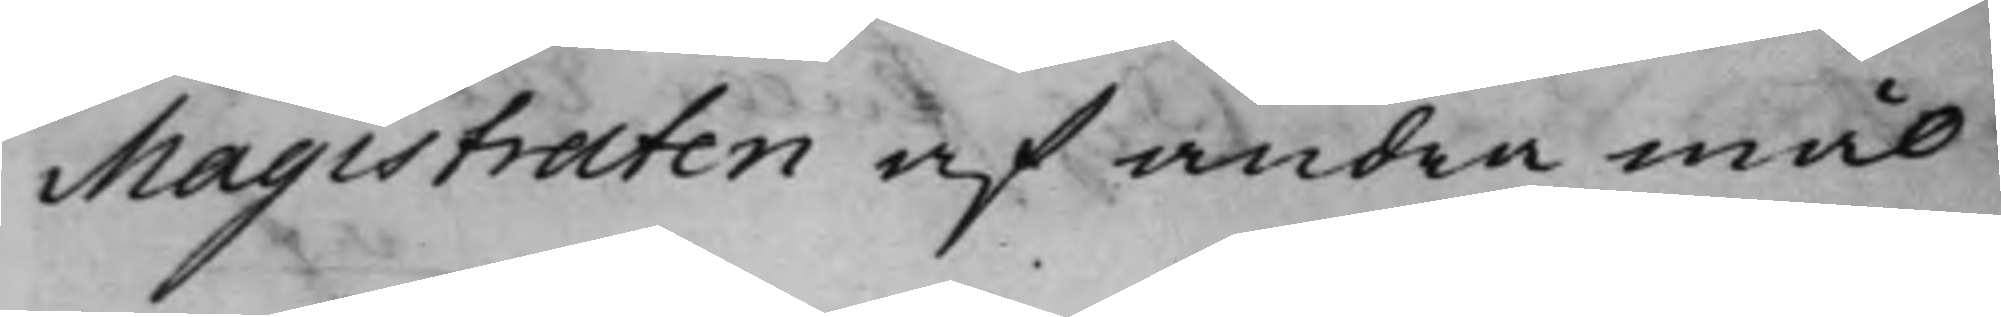Magistraten af andra mål
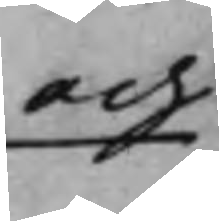och
